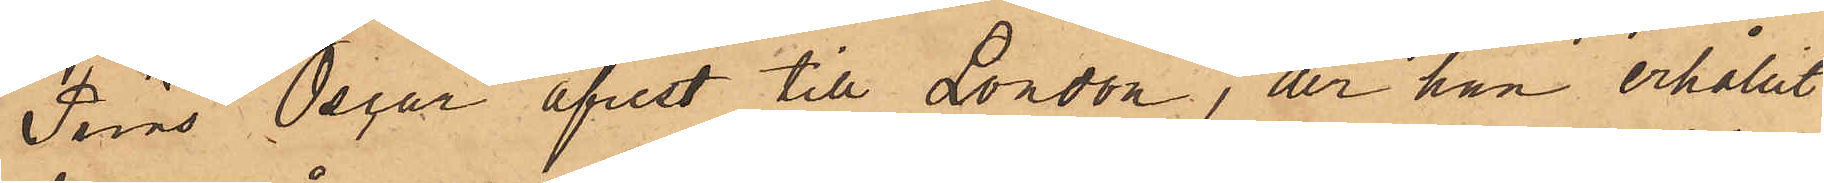Prins Oscar afrest till London, der han erhållit
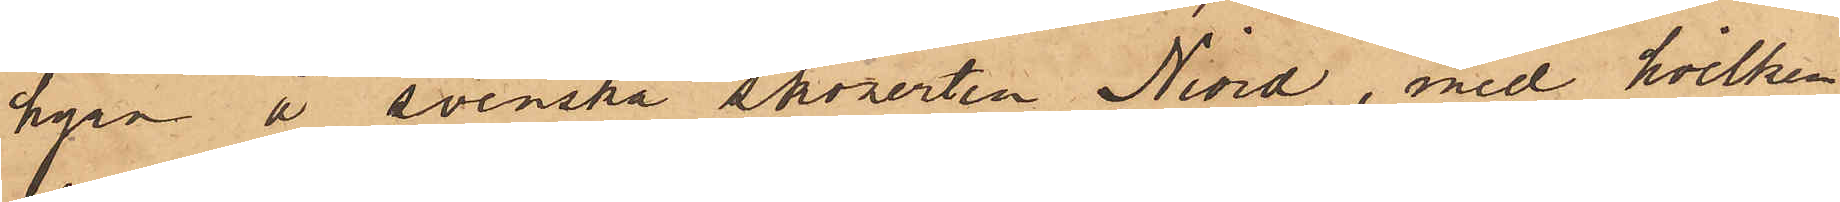hyra å svenska skonerten Niord, med hvilken
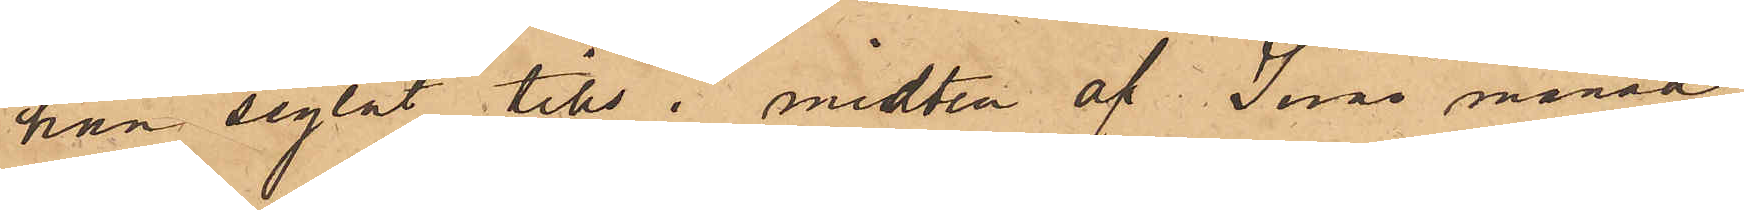han seglat tills i midten af Juni månad,
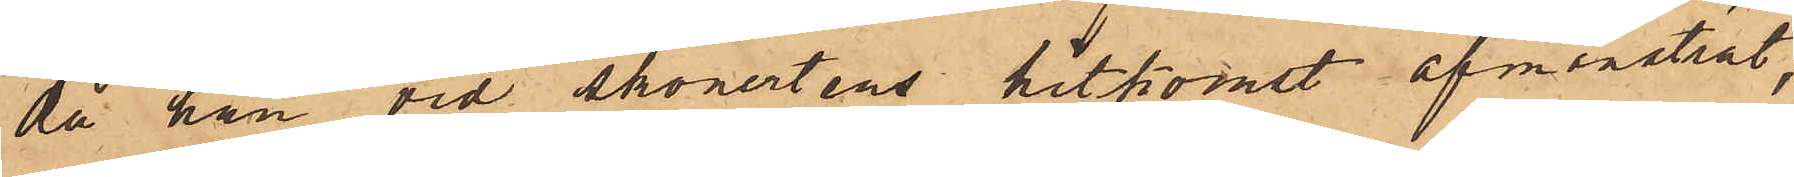då han vid skonertens hitkomst afmönstrat,
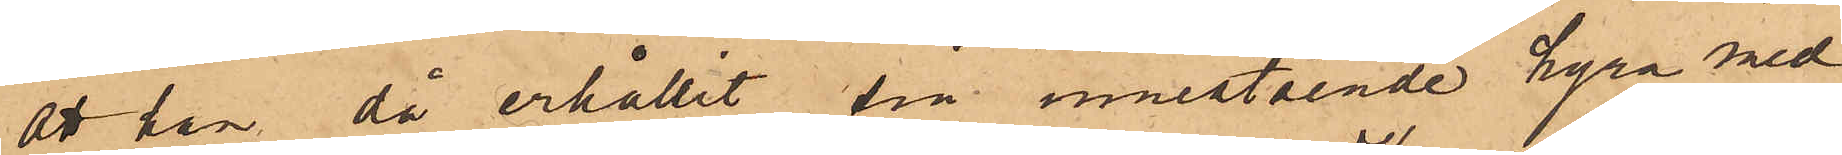att han då erhållit sin innestående hyra med
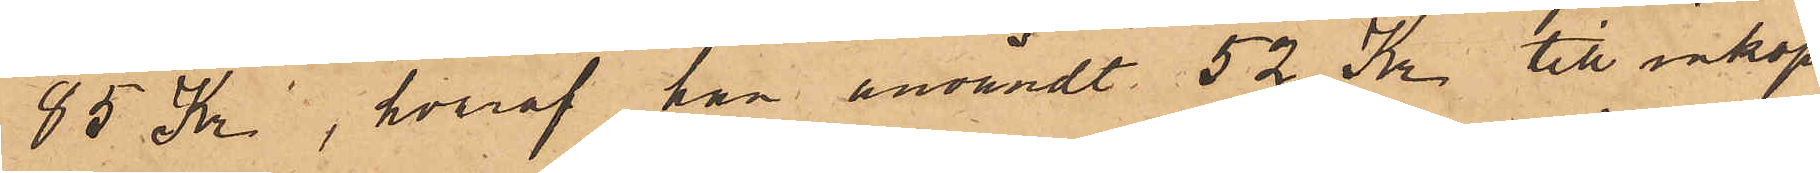85 Kr, hvaraf han användt 52 Kr till inköp
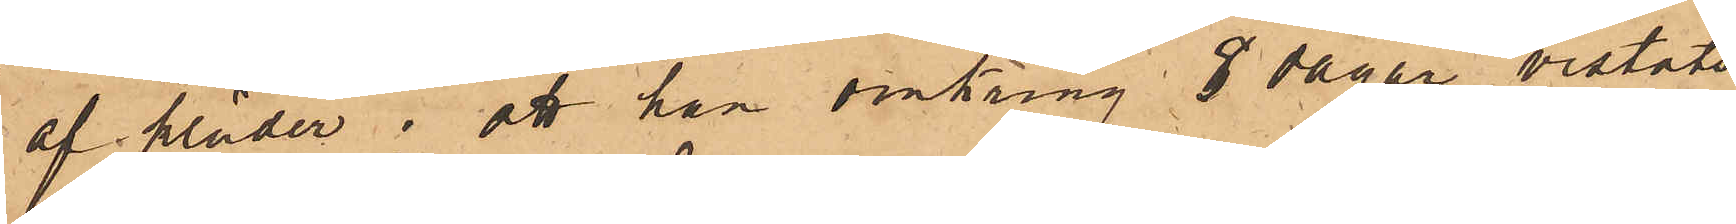af kläder; att han omkring 8 dagar vistats
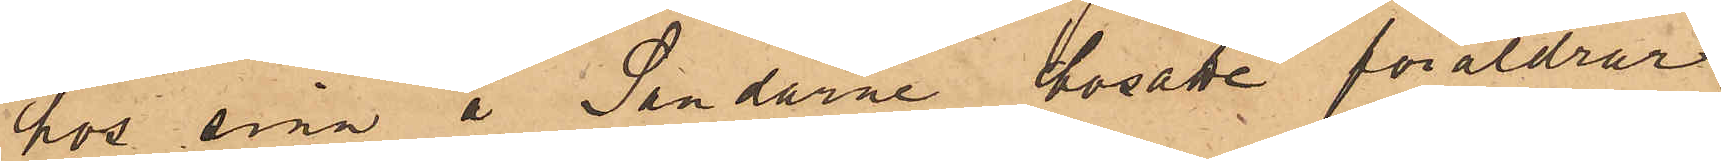hos sina å Sandarne bosatte föräldrar,
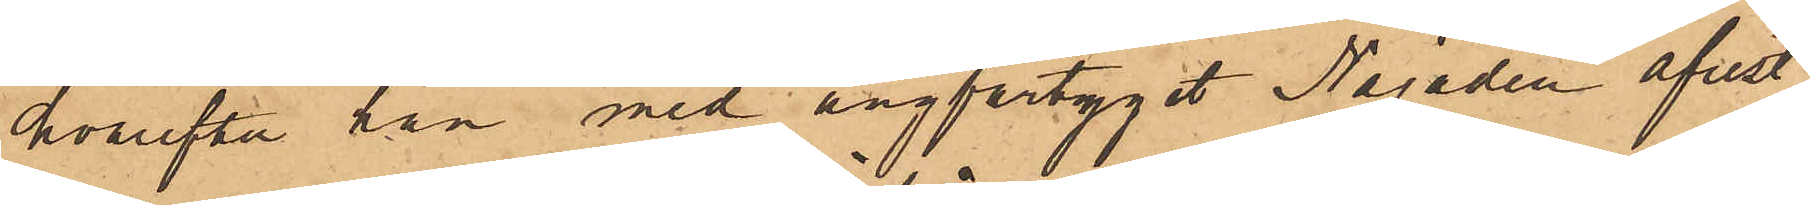hvarefter han med ångfartyget Najaden afrest
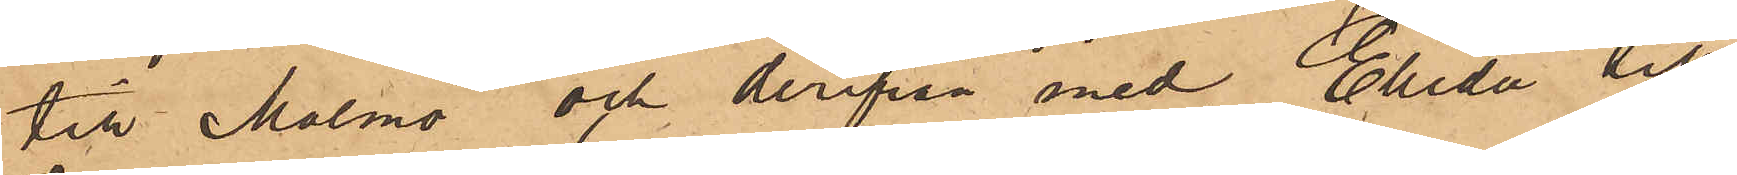till Malmö och derifrån med Elida till
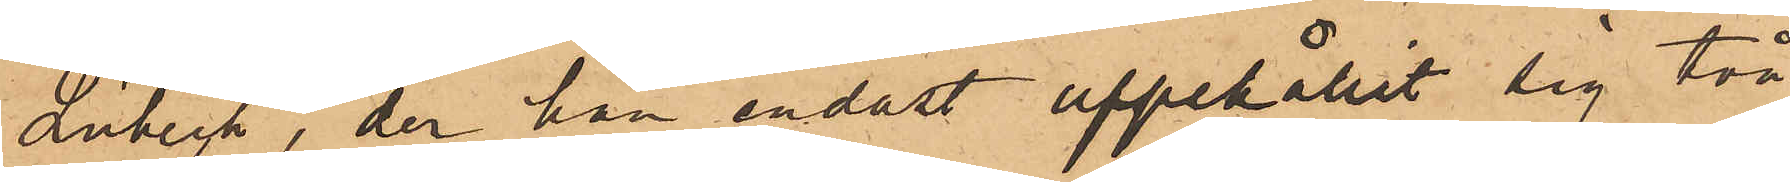Lübeck, der han endast uppehållit sig två
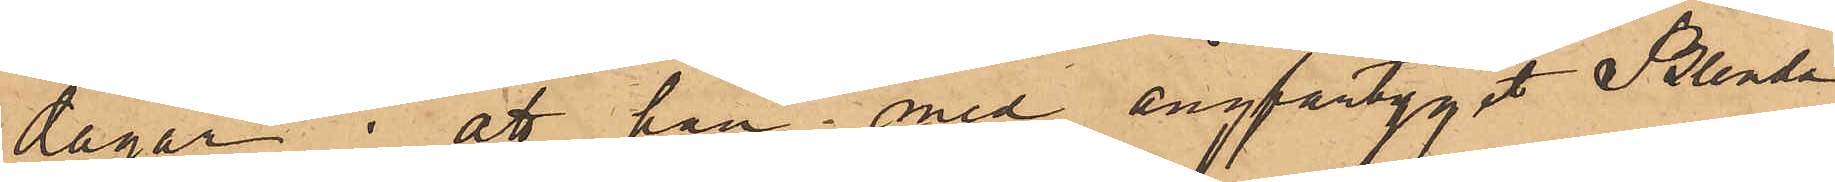dagar; att han med ångfartyget  Blenda
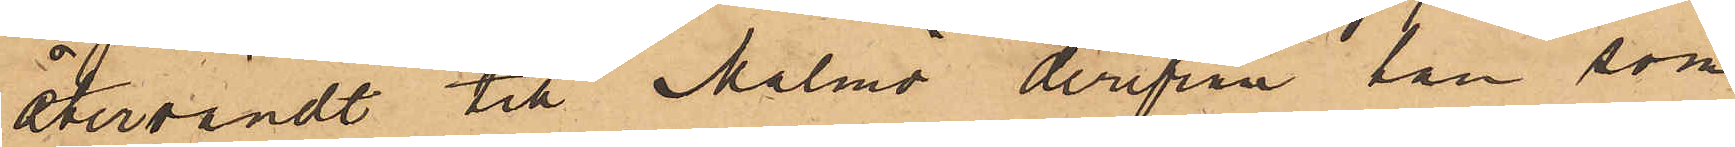återvändt till Malmö derifrån han som
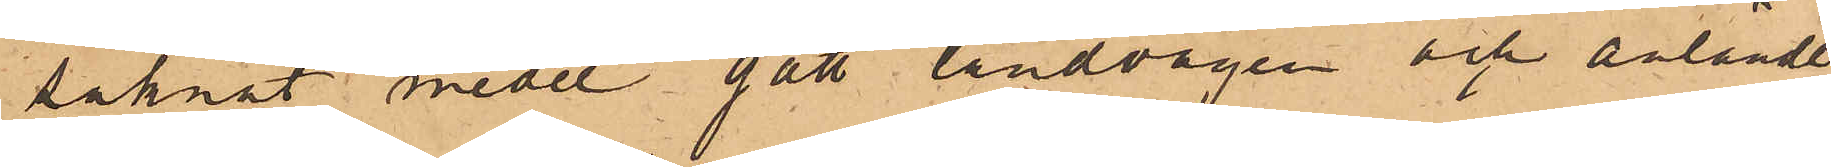saknat medel gått landvägen och anländt
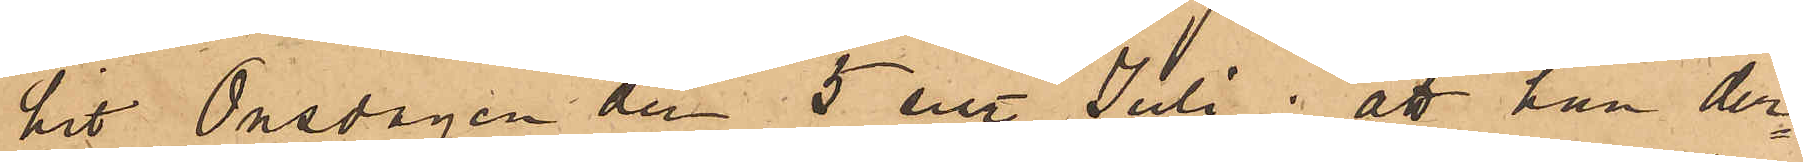hit Onsdagen den 5 sist Juli; att han der¬
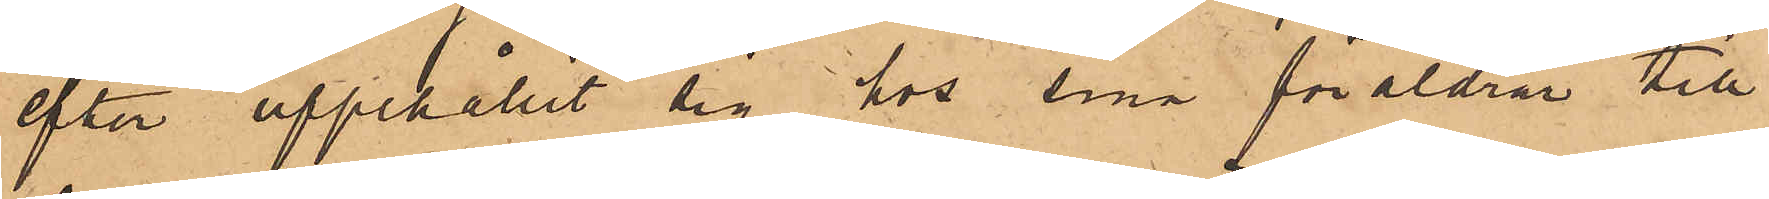efter uppehållit sig hos sina föräldrar till
